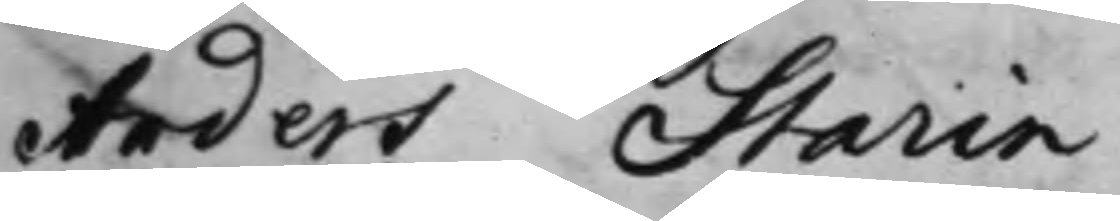Ander Starin.
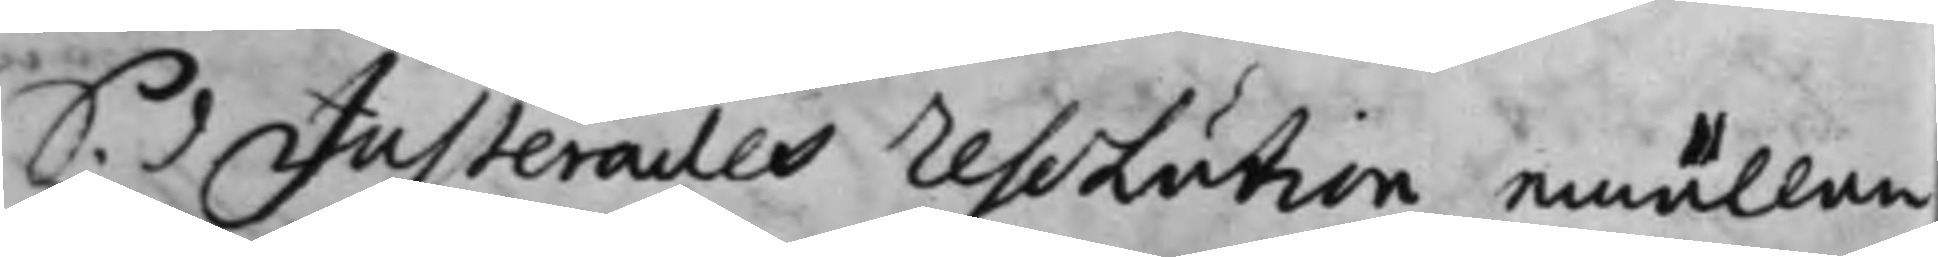S. d. Justerades resolution emällan
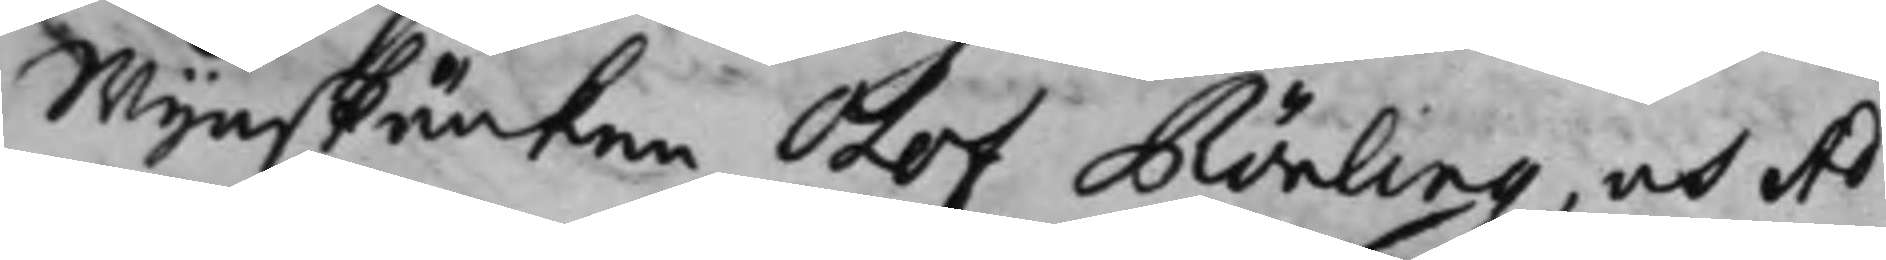Wijnskänken Olof Rönling, och Ad¬
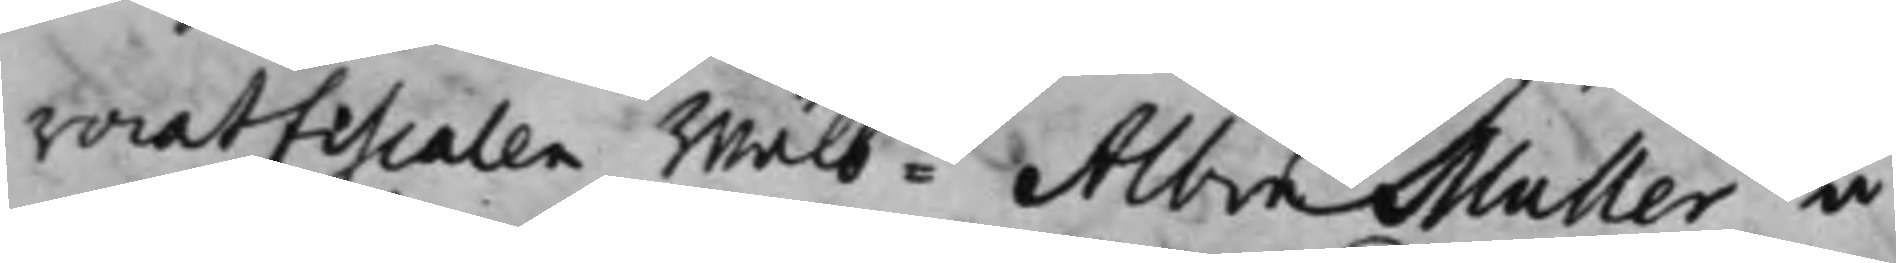vocatfiscalen Wälb:de Albin Muller å
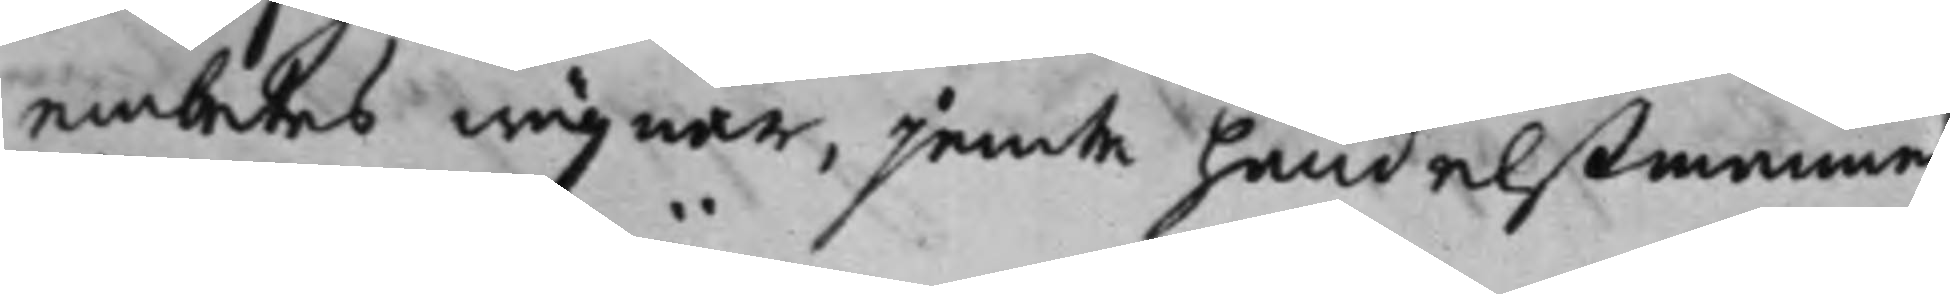embetes wägnar, jemte handelßmannen
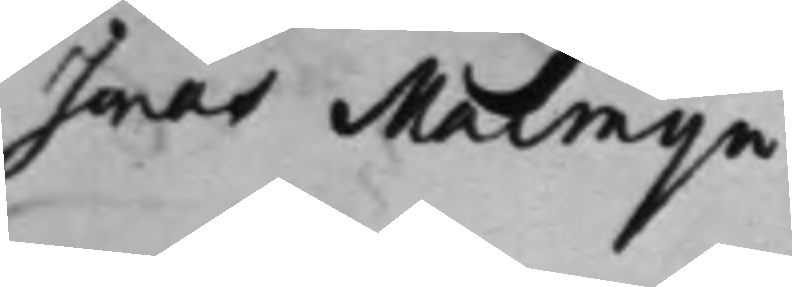Jonas Malmijn.
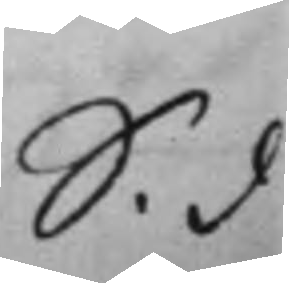S. d
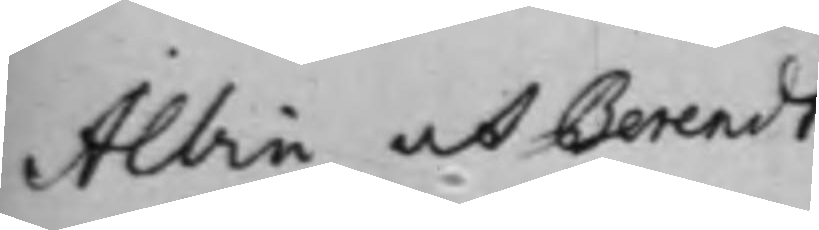Albin och Berendt
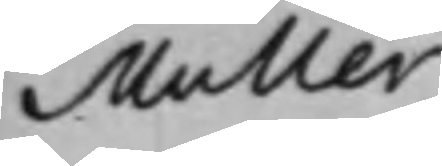Muller
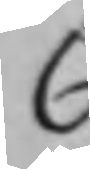C
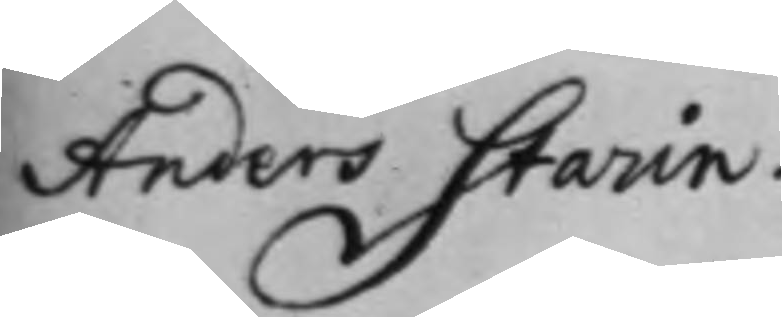Anders Starin.
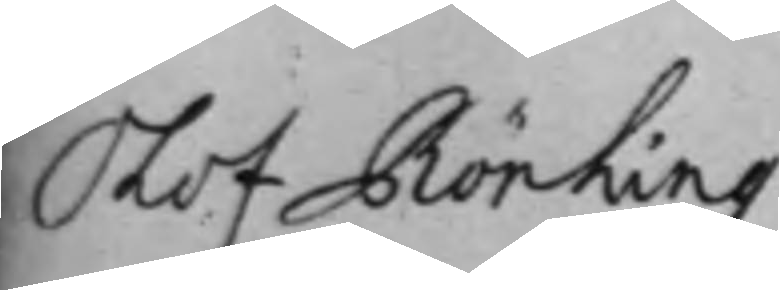Olof Rönling
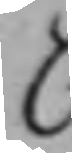C
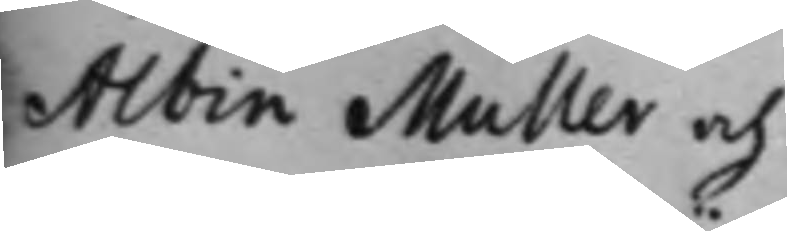Albin Muller och
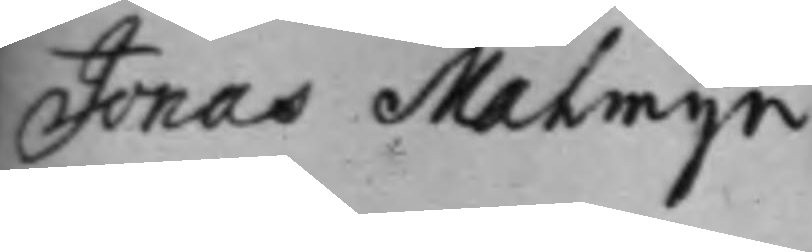Jonas Malmijn
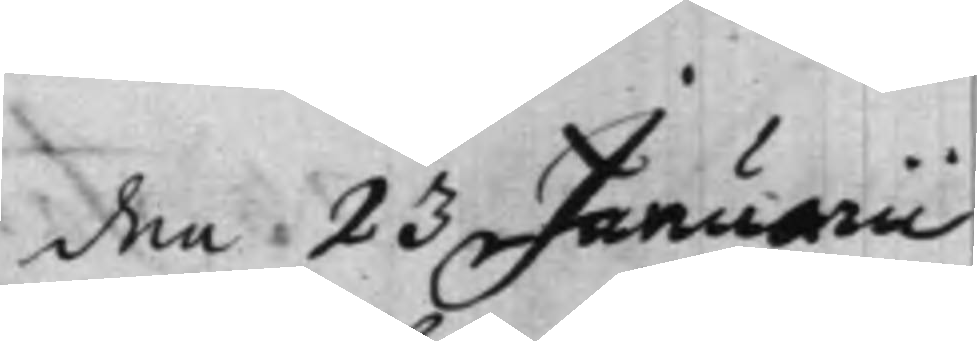den 23 Januarii
